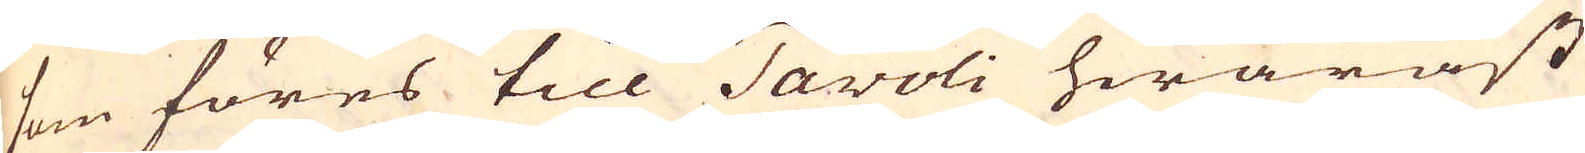som föres till Tavoli hwaräst
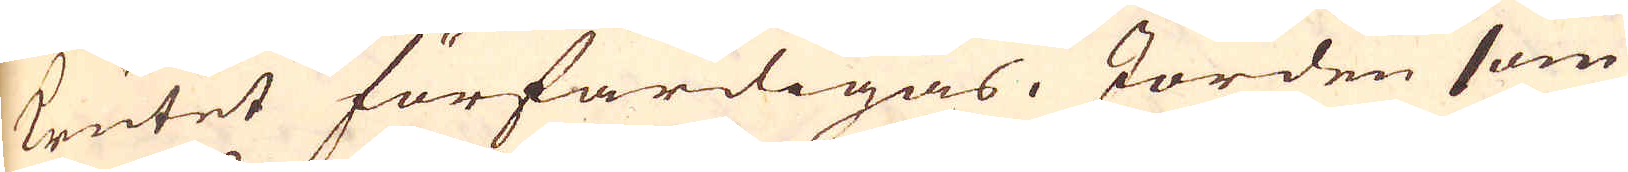krutet förfärdigas, Jorden som
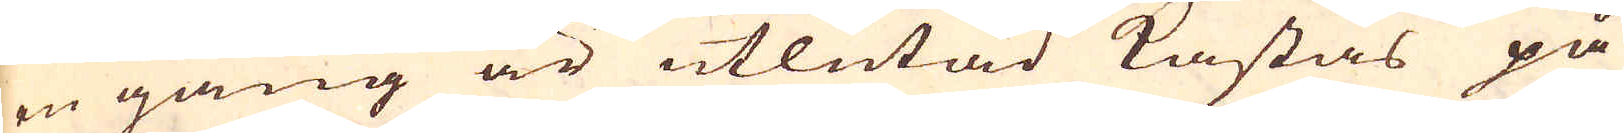en gång är utlutad kastas på
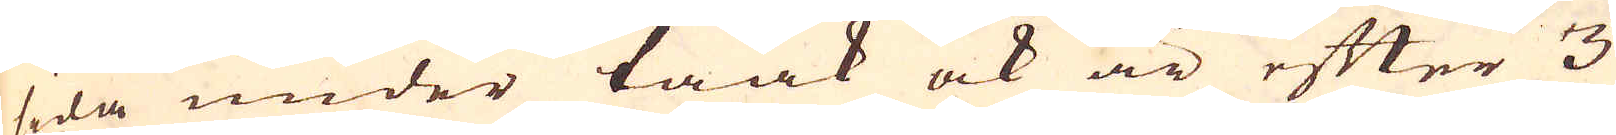sida under taak ock är efter 3
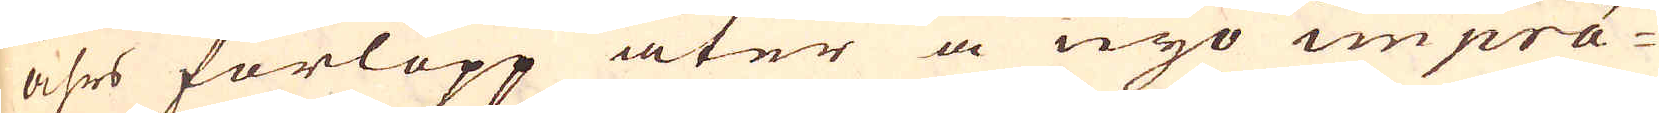åhrs förlopp åter å nyo imprä-
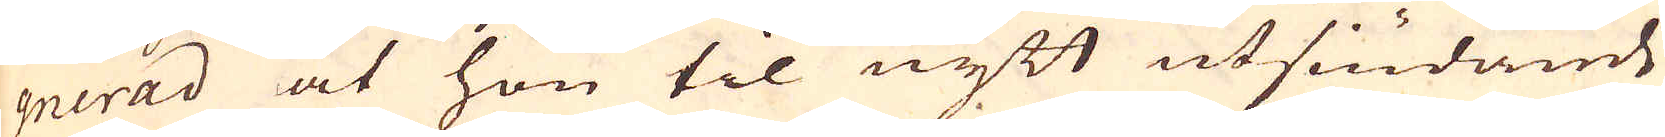gnerad at hon til nytt utsiudande
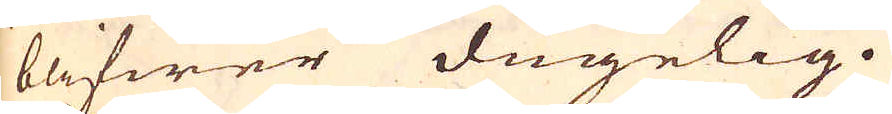blifwer dugelig.
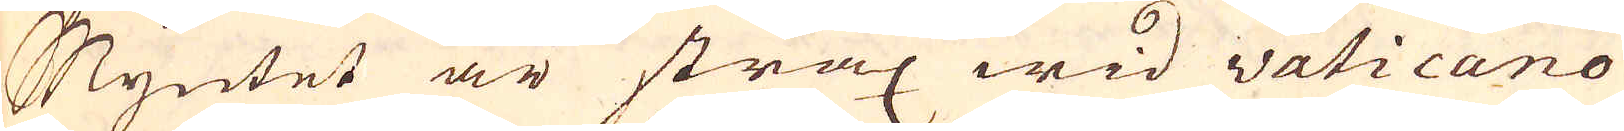Myntet är strax wid vaticano
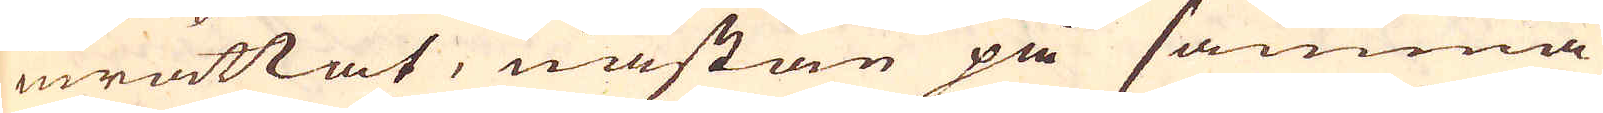inrättat, nästan på samma
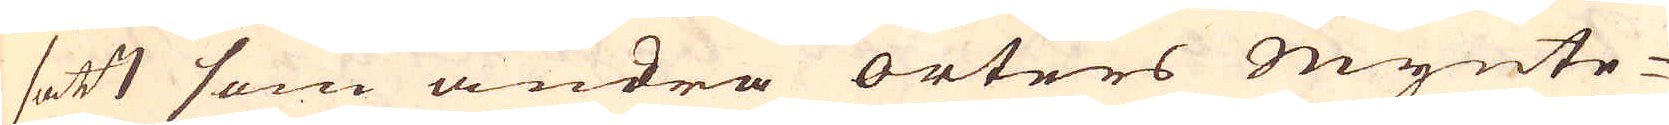sätt som andra orters Mynte-
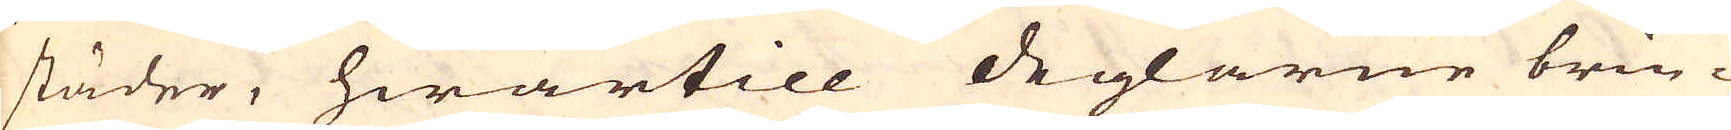städer, hwartill deglarne brin-
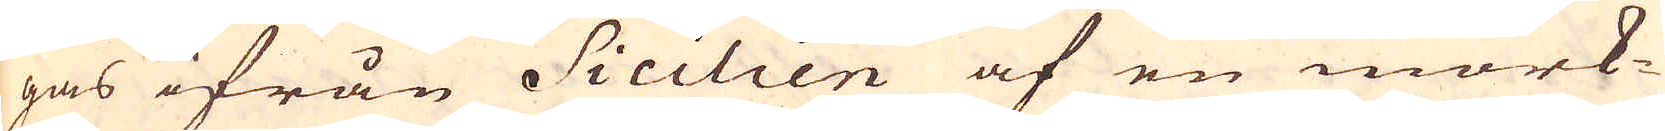gas ifrån Sicilien af en mörk-
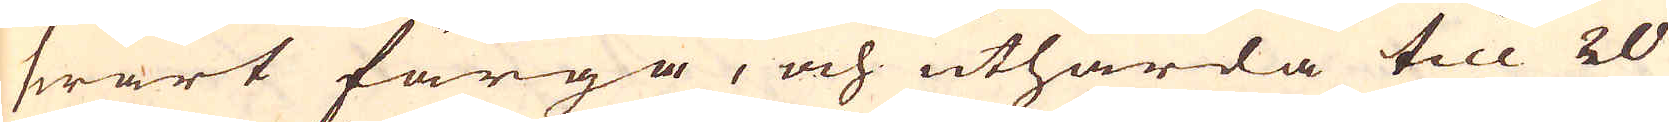swart färga, och uthärda till 20
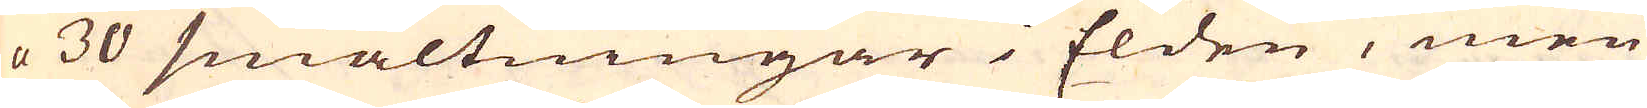a 30 smältningar i Elden, men
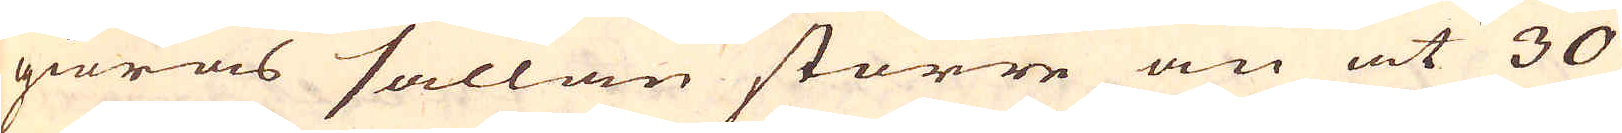giöras sällan större än at 30
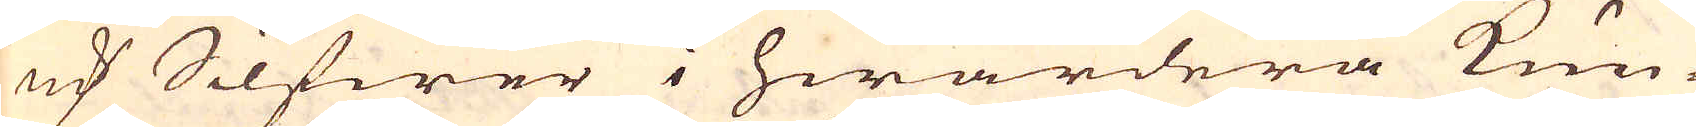marker Silfwer i hwardera kun-
